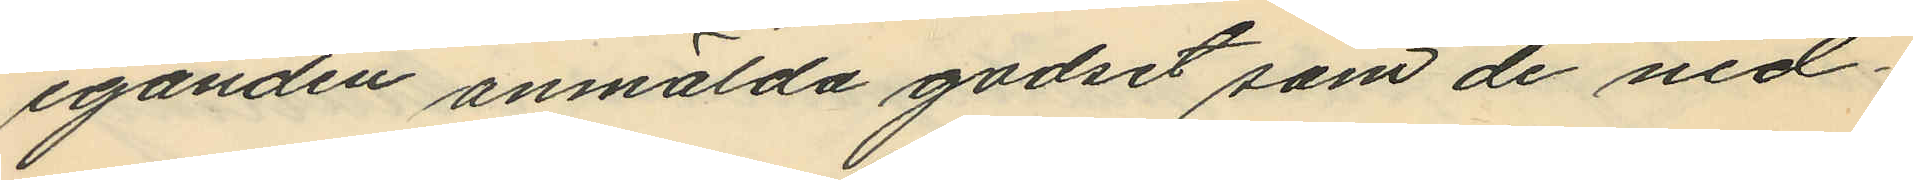eganden anmälda godset som de ned¬
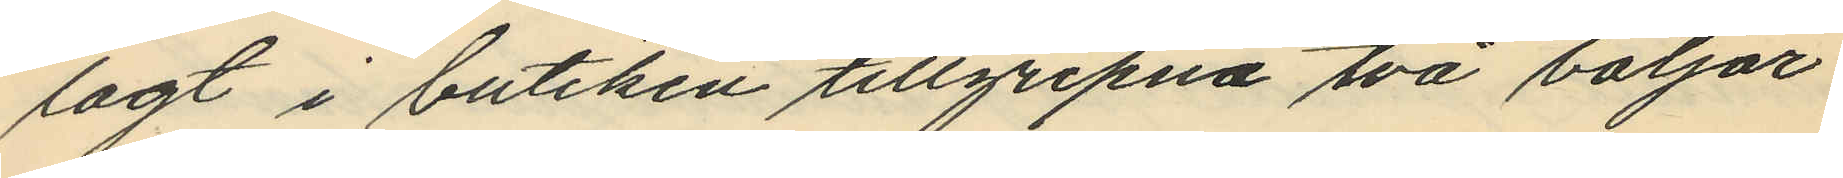lagt i butiken tillgripna två baljor
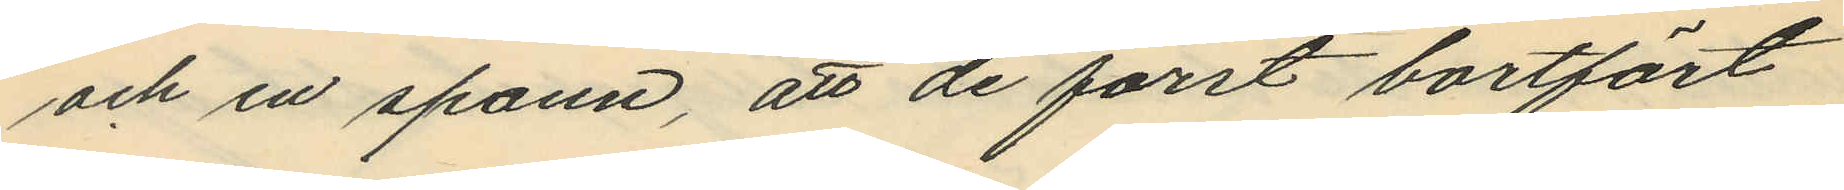och en spann, att de först bortfört
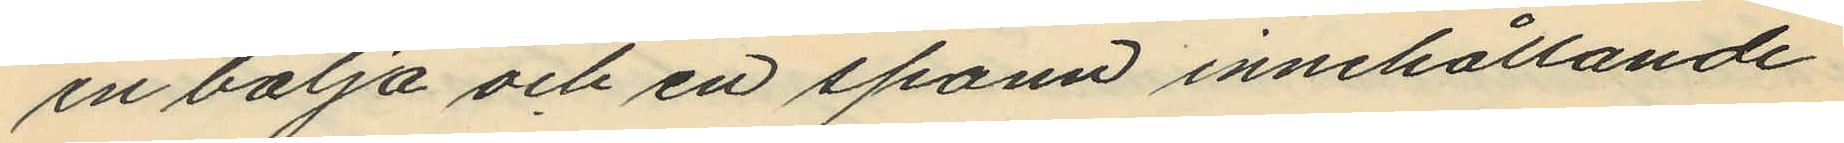en balja och en spann innehållande
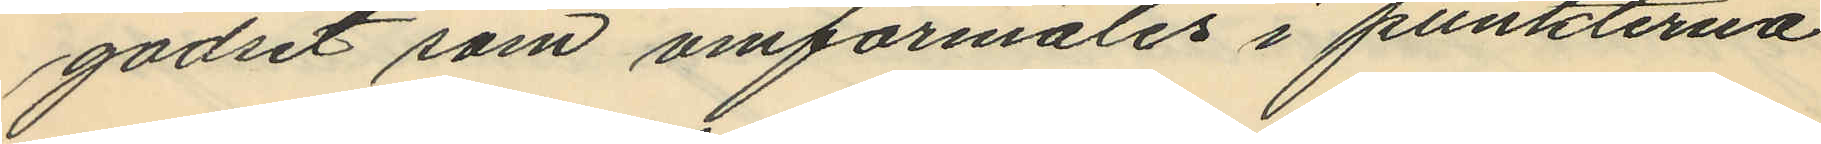godset som omförmäles i punkterna
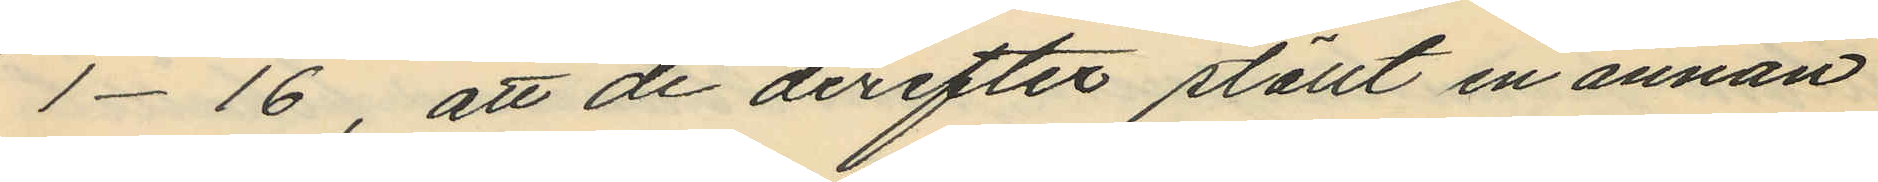1-16, att de derefter ställt en annan
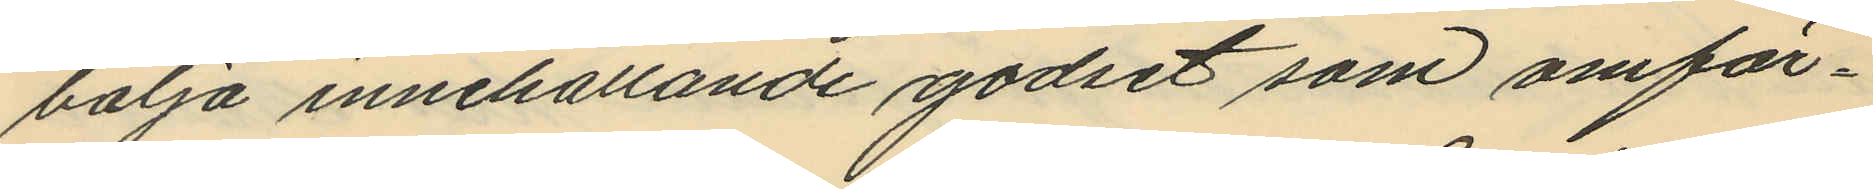balja innehållande godset som omför¬
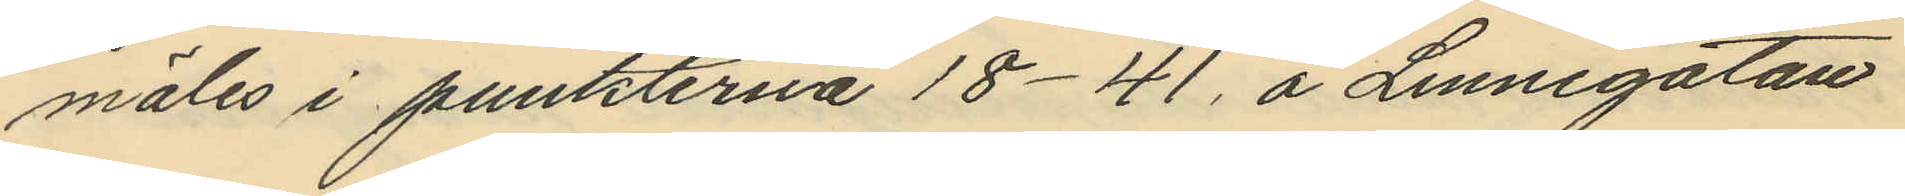mäles i punkterna 18-41, å Linnégatan
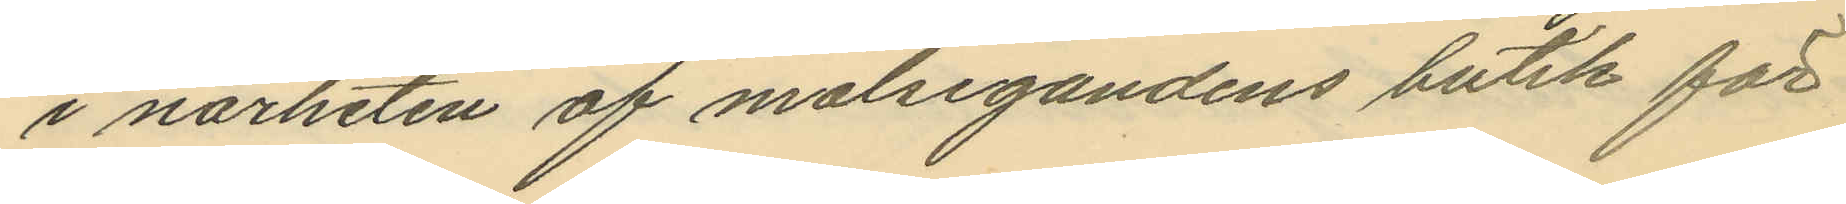i närheten af målsegandens butik för
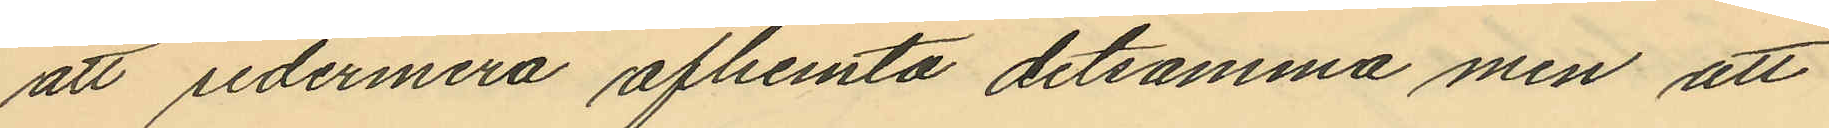att sedermera afhemta detsamma men att
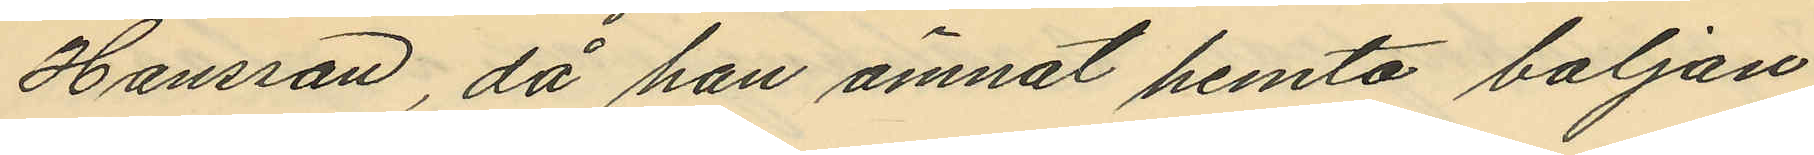Hansson, då han ämnat hemta baljan
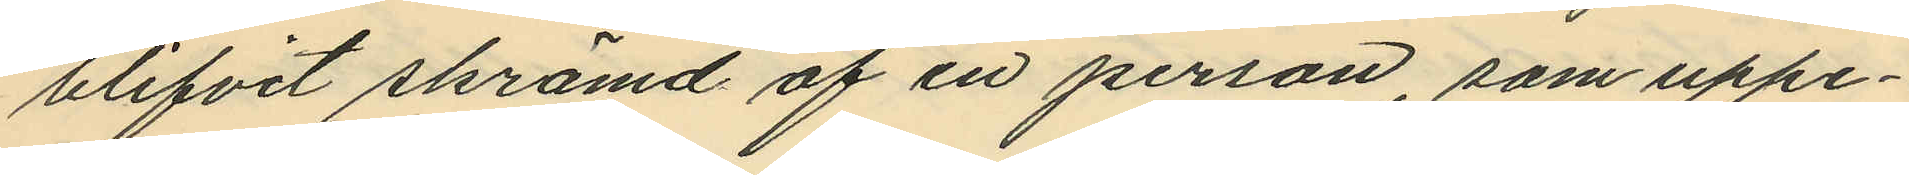blifvit skrämd af en person, som uppe¬
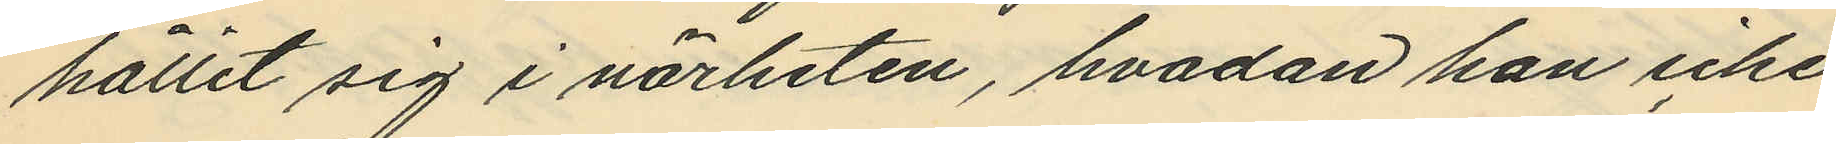hållit sig i närheten, hvadan han icke
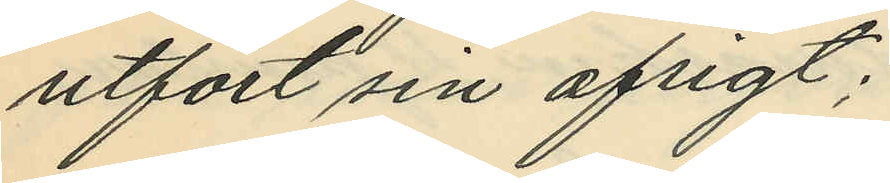utfört sin afsigt;
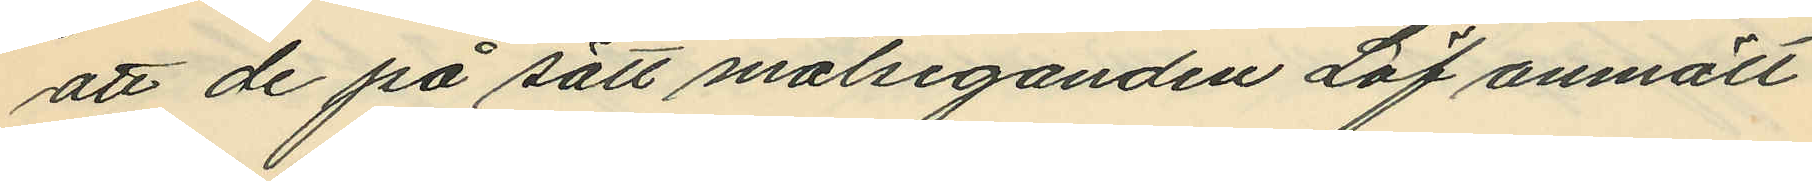att de på sätt målseganden Löf anmält
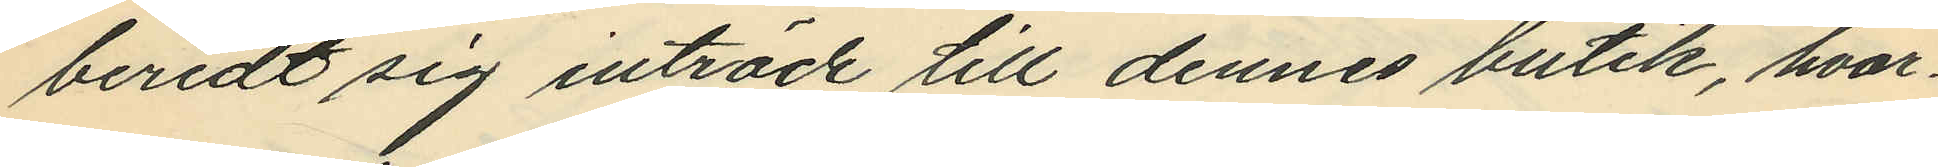beredt sig inträde till dennes butik, hvar¬
